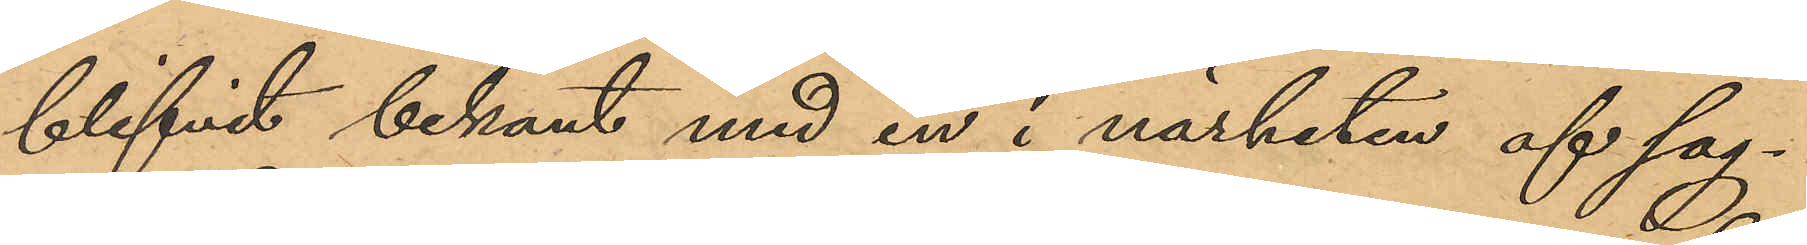blifvit bekant med en i närheten af sag¬
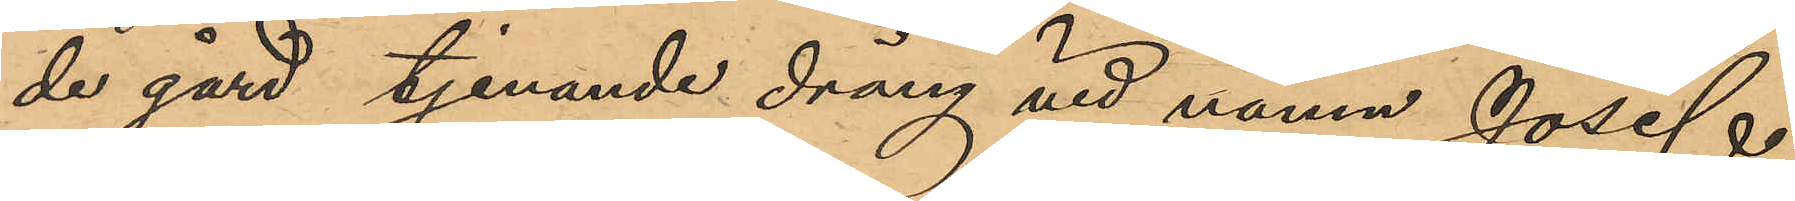de gård tjenande dräng vid namn Josef
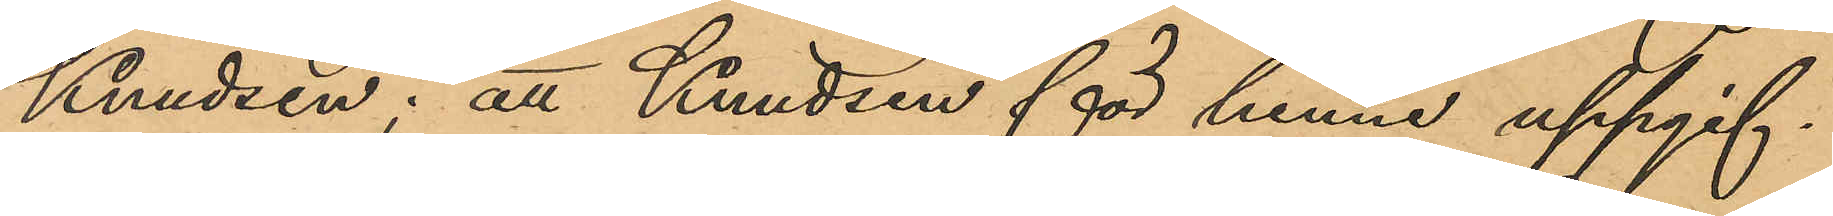Knudsen; att Kundsen för henne uppgif¬
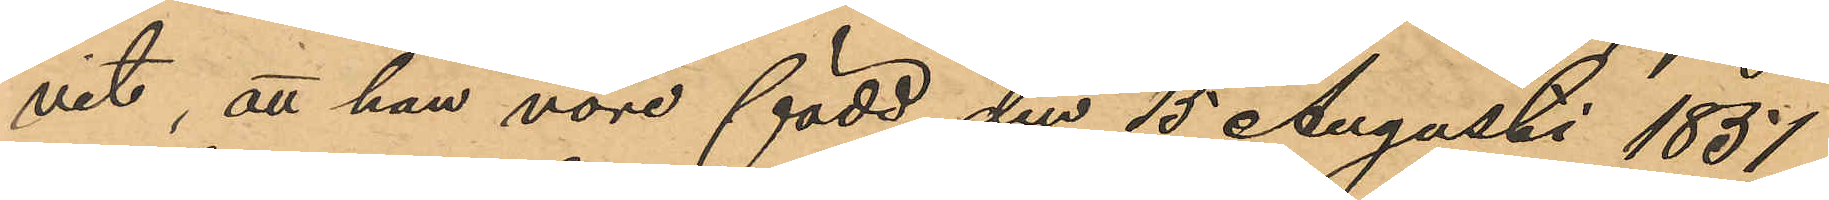vit, att han vore född den 15 Augusti 1851
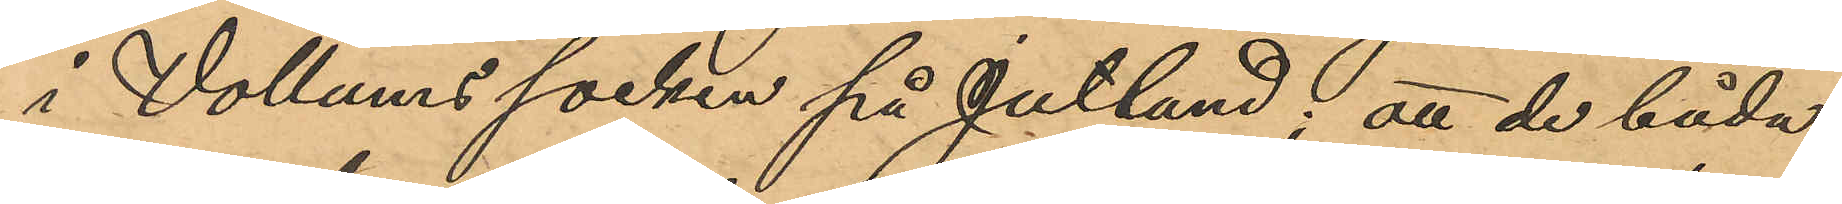i Vollums socken på Jultand; att de båda
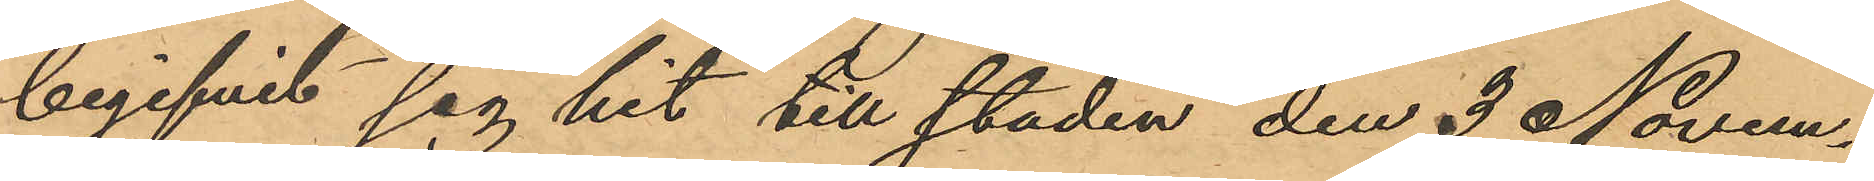begifvit sig hit till staden den 3 Novem¬
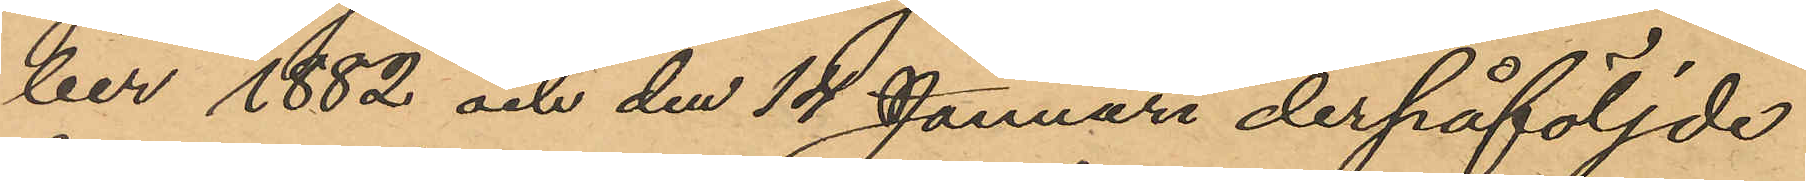ber 1882 och den 14 Januari derpåföljde
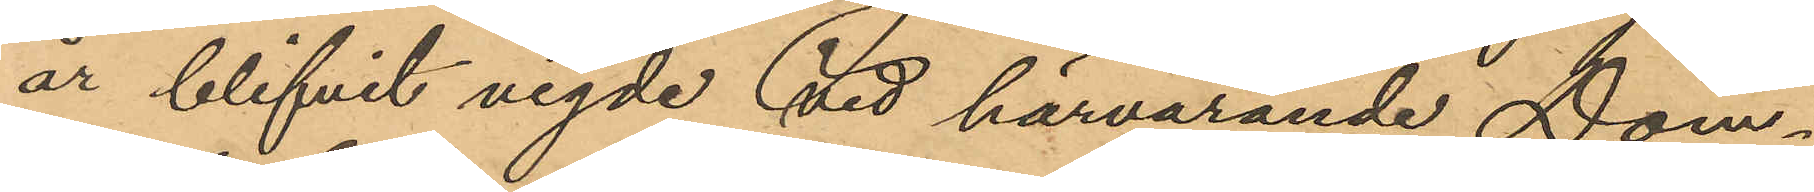år blifvit vigde vid härvarande Dom¬
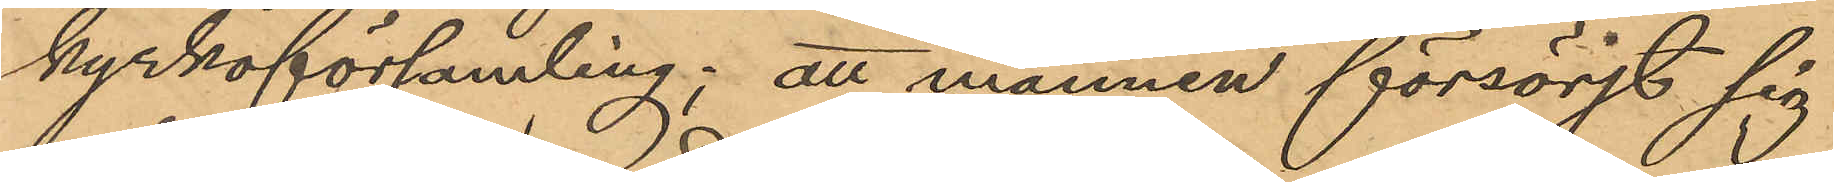kyrkoförsamling; att mannen försörjt sig
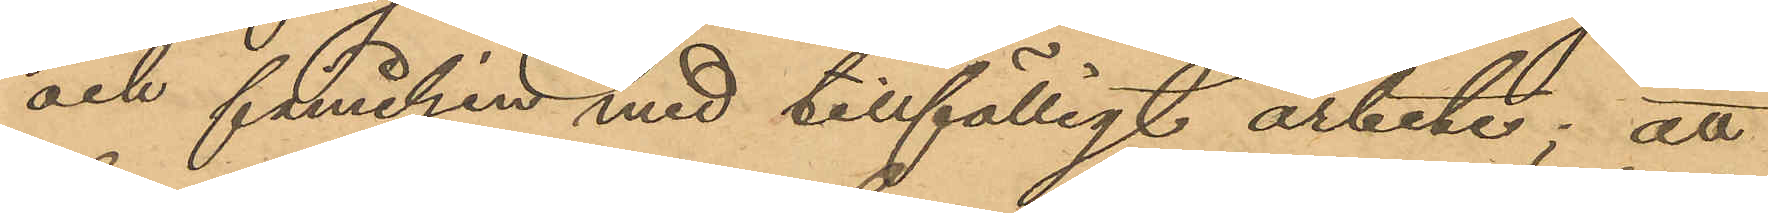och familjen med tillfälligt arbete; att
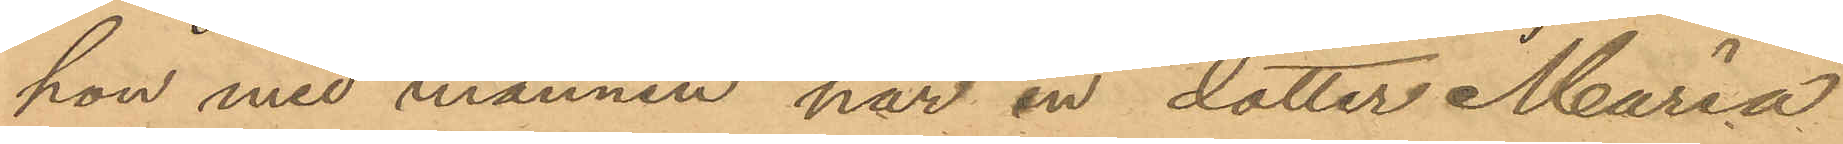hon med mannen har en dotter Maria
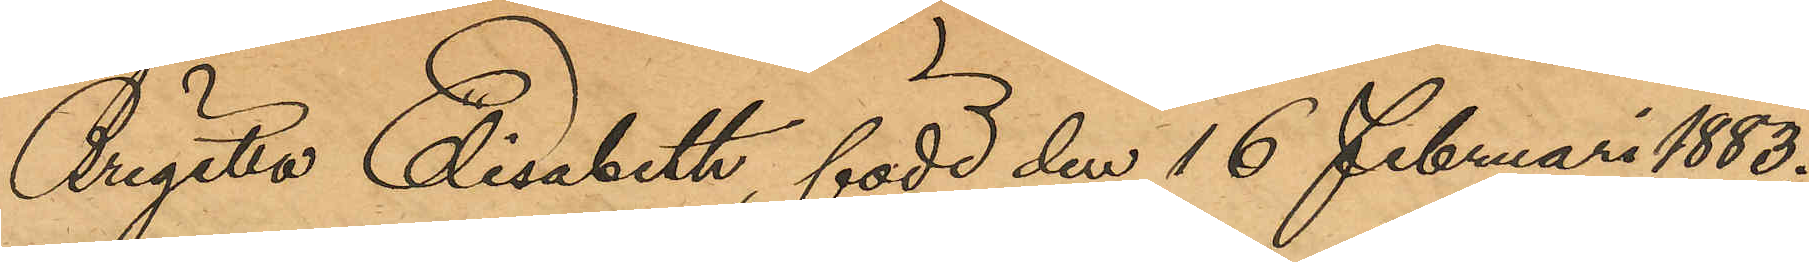Brigitta Elisabeth, född den 16 Februari 1883;
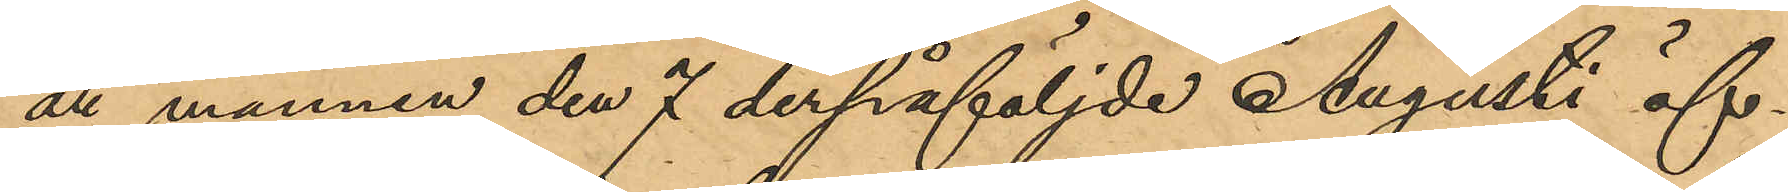att mannen den 7 derpåföljde Augusti öf¬
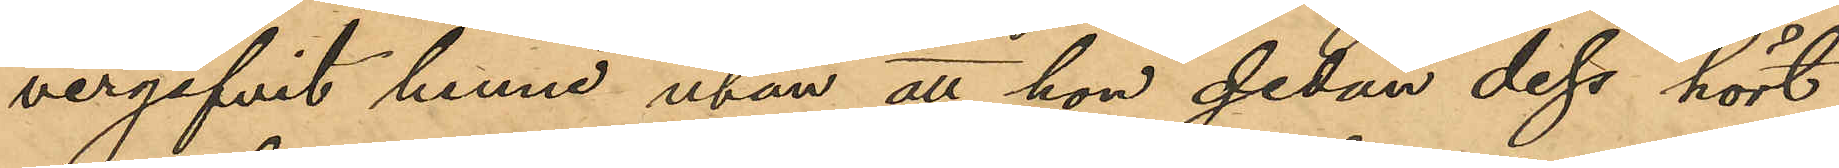vergifvit henne utan att hon sedan dess hört
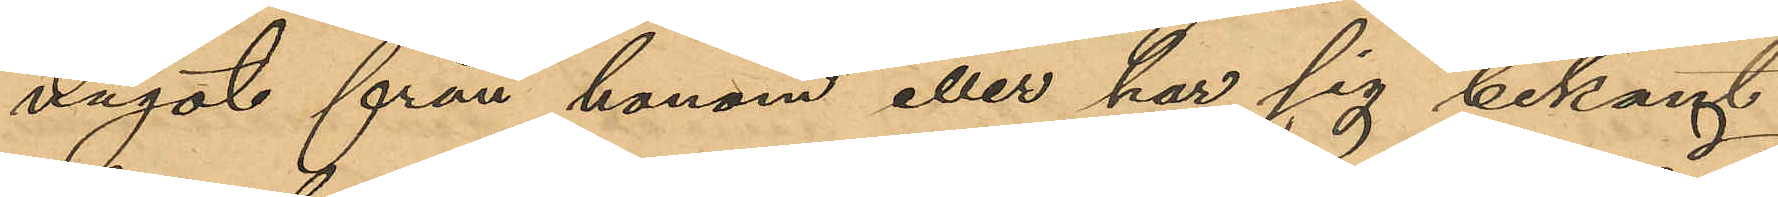något från honom eller har sig bekant
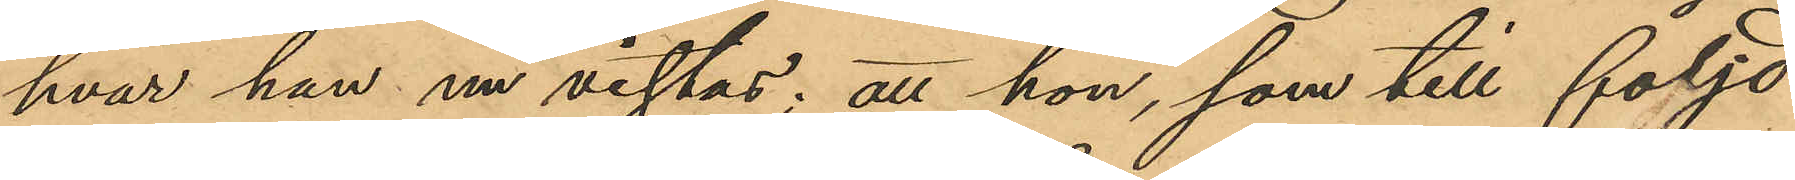hvar han nu vistas; att hon, som till följd
